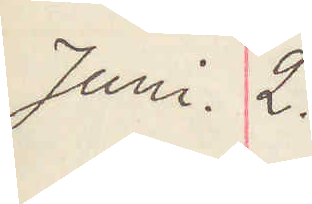Juni 2.
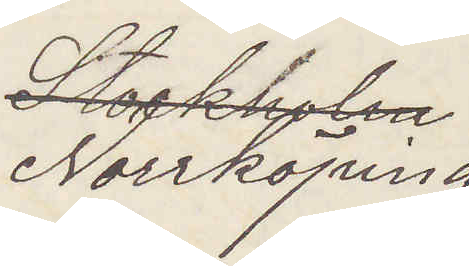Norrköping
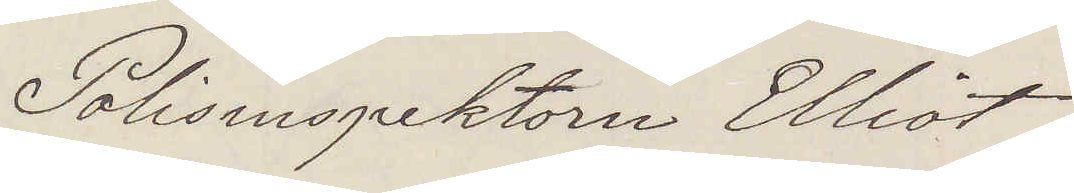Polisinspektorn Elliot
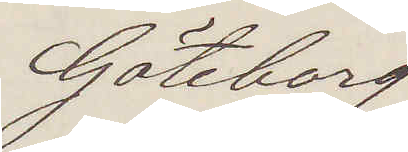Göteborg
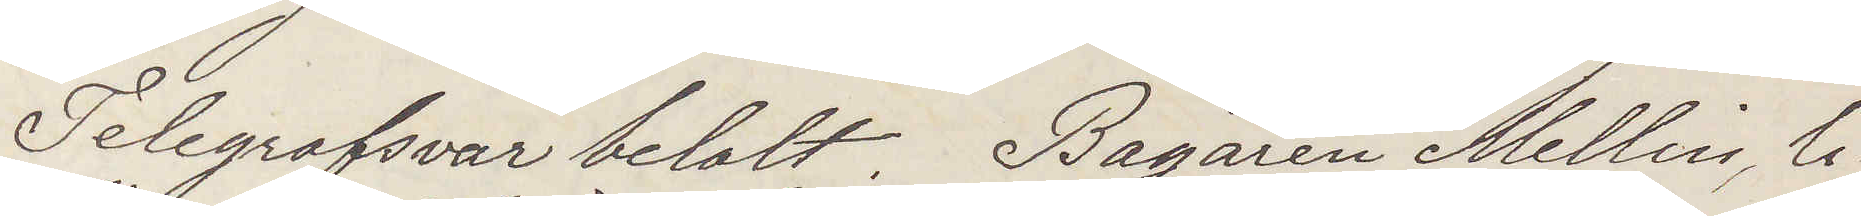Telegrafsvar betalt. Bagaren Mellin, li¬
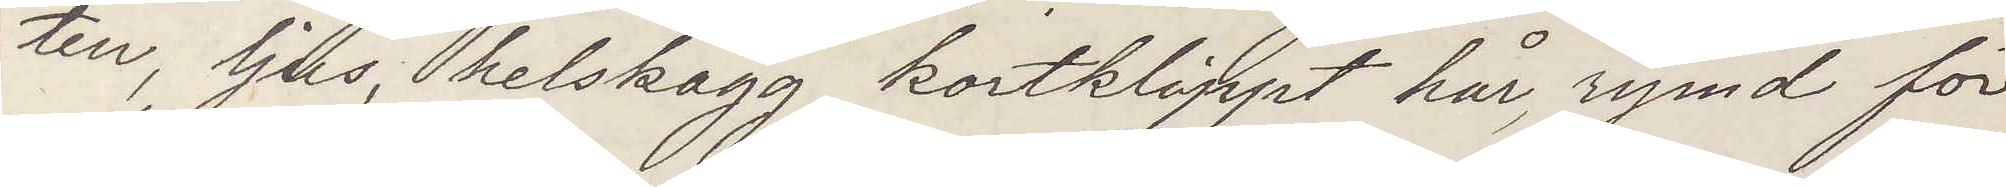ten, ljus, helskägg, kortklippt hår, rymd för
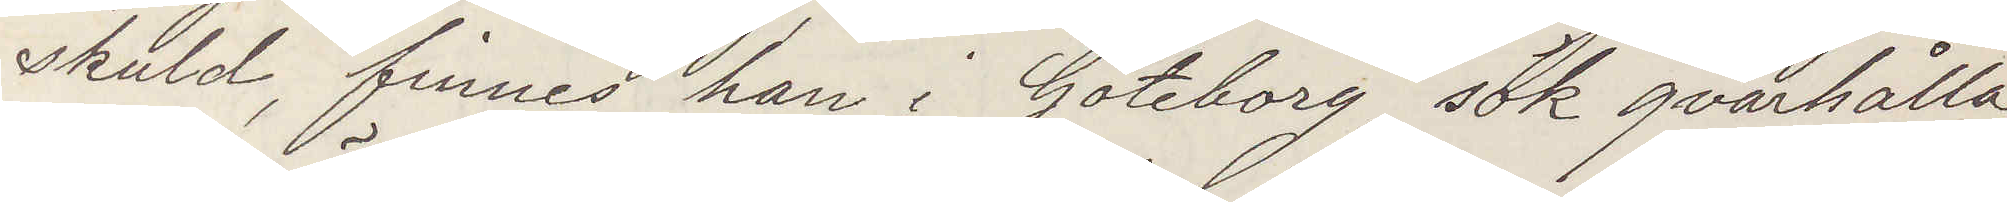skuld, finnes han i Göteborg, sök qvarhålla
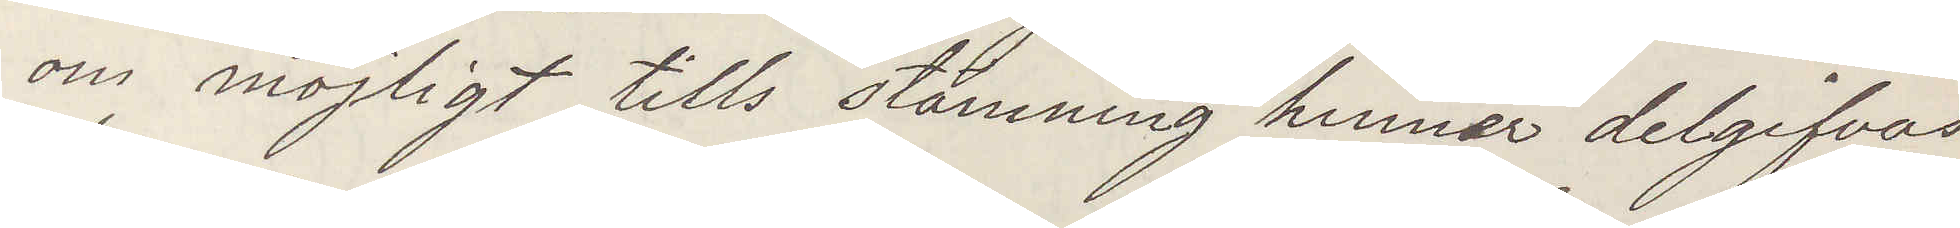om möjligt tills stämning hinner delgifvas
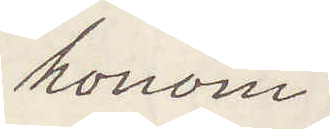honom.
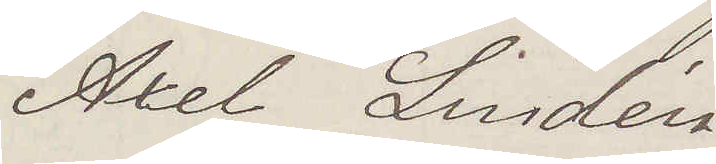Axel Lindén.
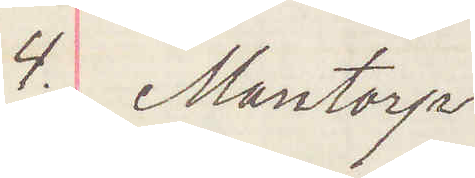4 Mantorp.
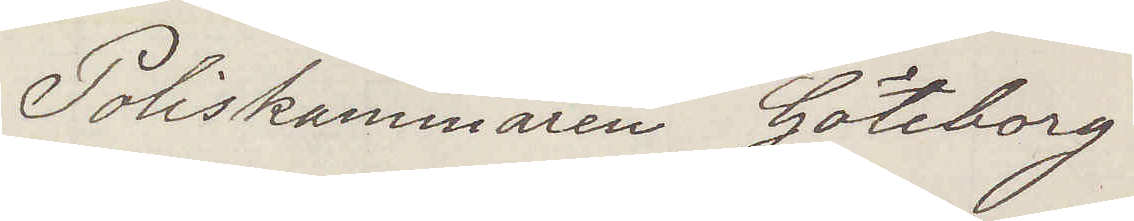Poliskammaren Göteborg
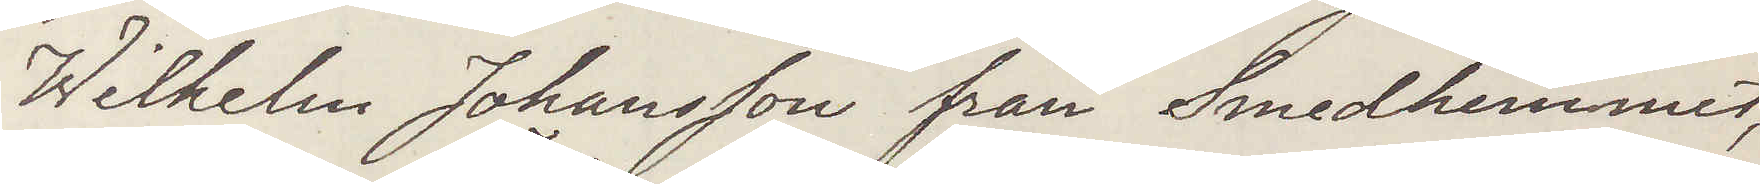Wilhem Johansson från Smedhemmet,
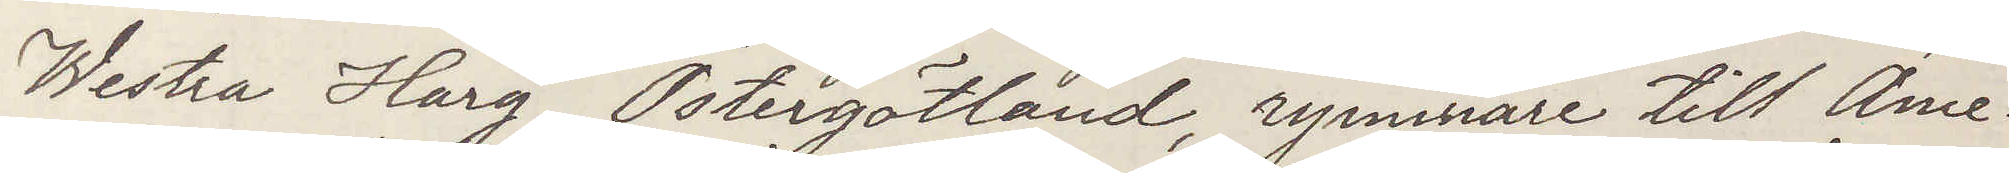Westra Harg, Östergötland, rymmare till Ame¬
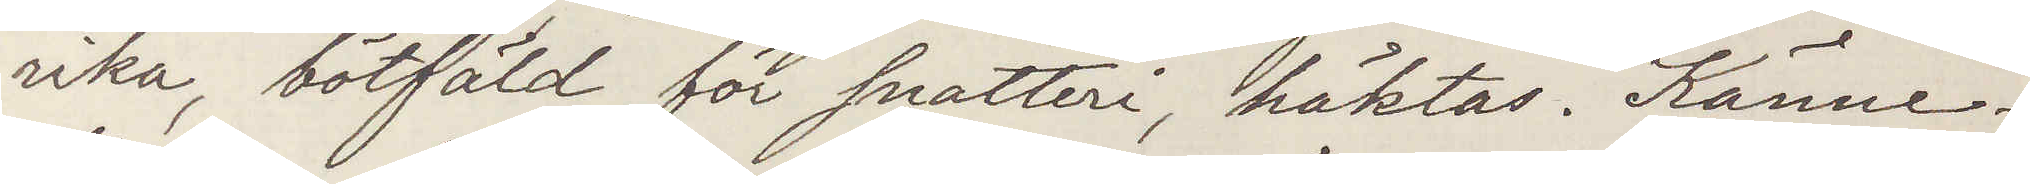rika bötfäld för snatteri häktas Känne¬
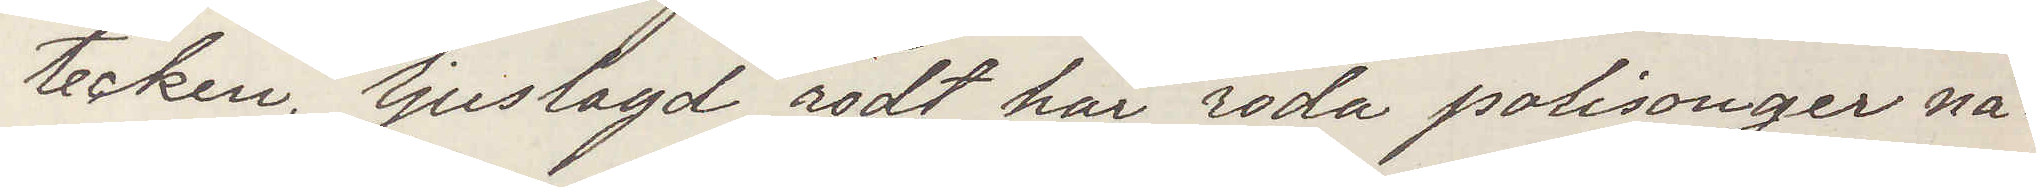tecken ljuslagd rödt hår röda polisonger nå¬
